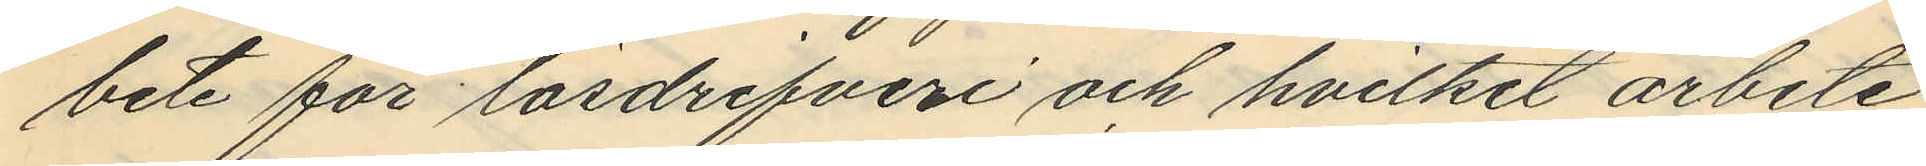bete för lösdrifveri och hvilket arbete
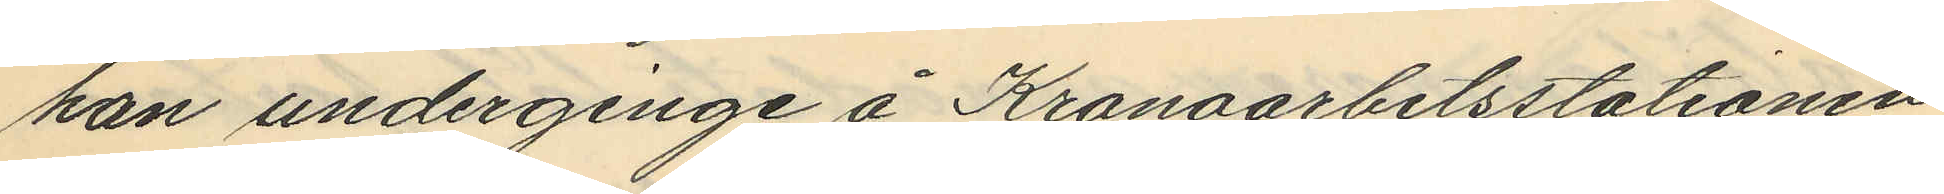han underginge å Kronoarbetsstationen
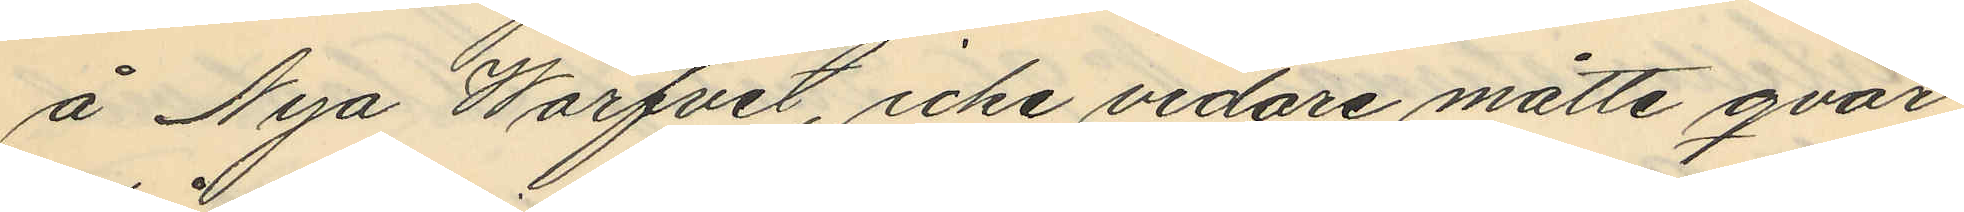å Nya Warfvet, icke vidare måtte qvar
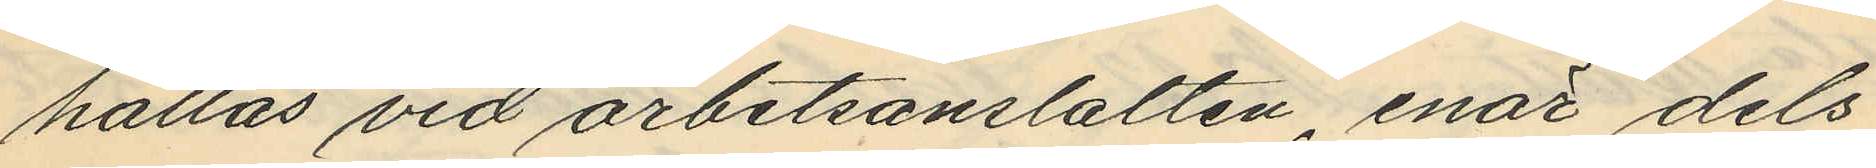hållas vid arbetsanstalten, enär dels
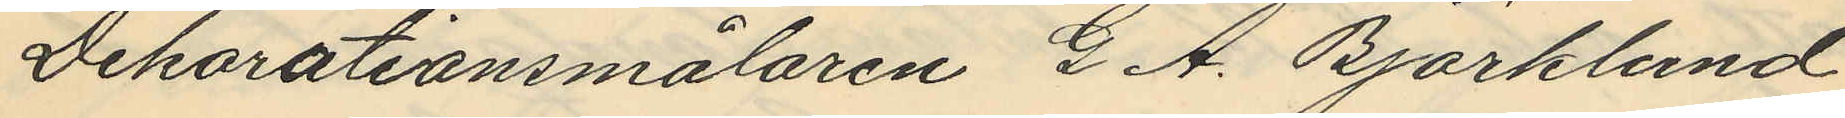Dekorationsmålaren G. A. Björklund
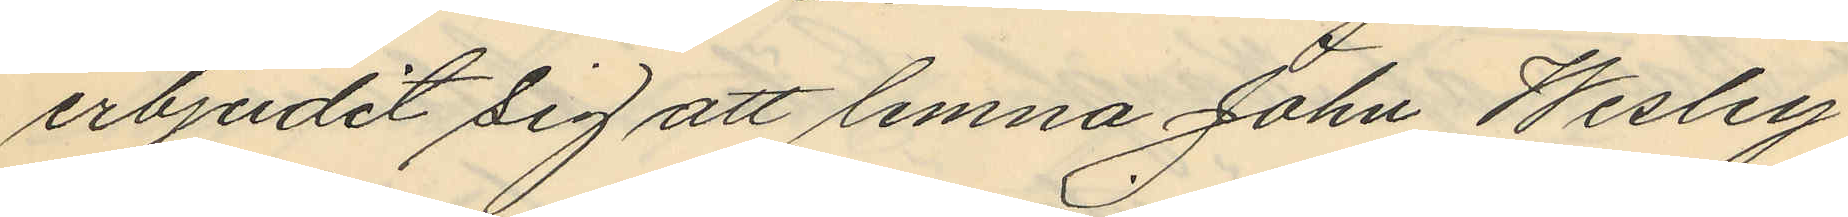erbjudit sig att lemna John Wesley
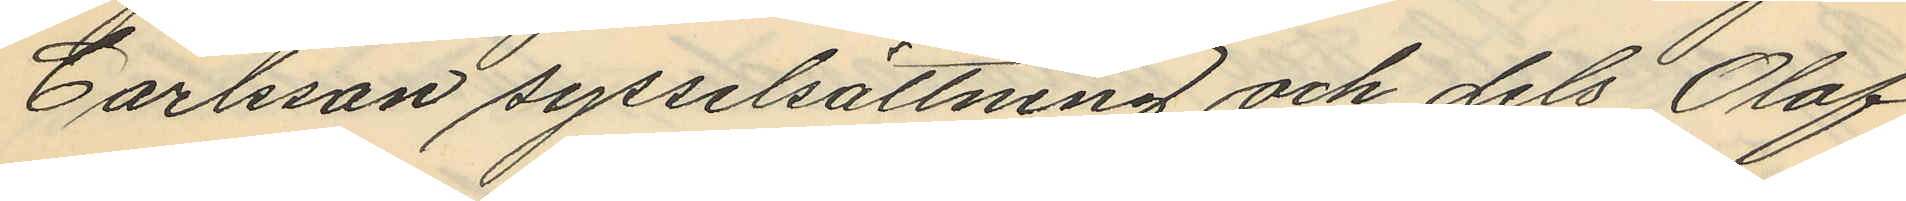Carlsson sysselsättning och dels Olof
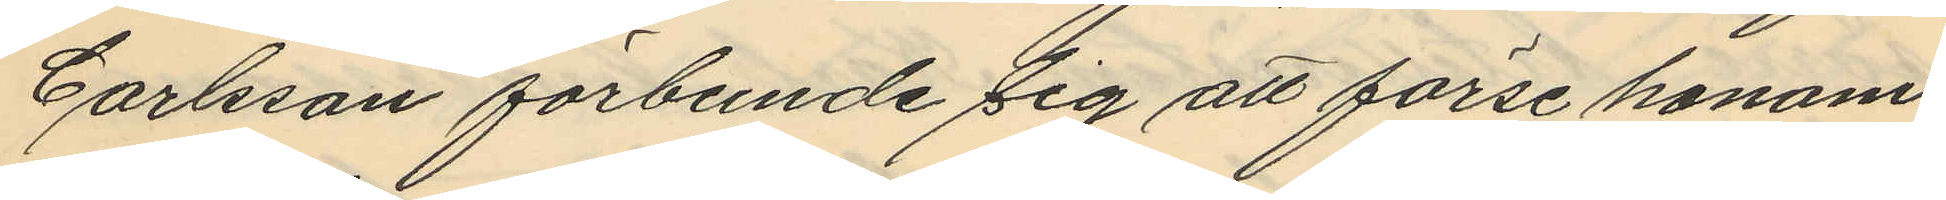Carlsson förbunde sig att förse honom
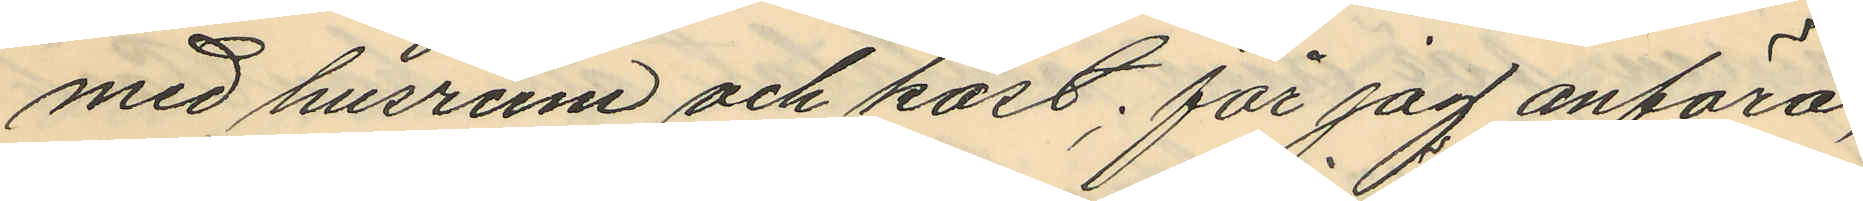med husrum och kost; får jag anföra;
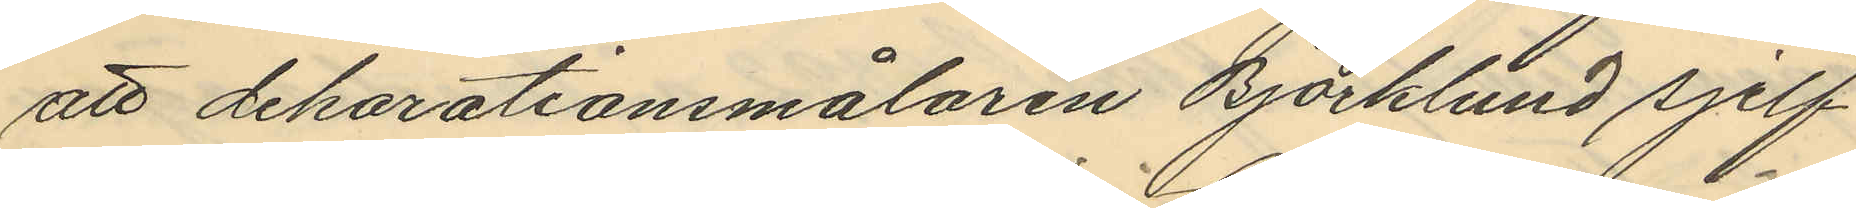att dekorationsmålaren Björklund sjelf
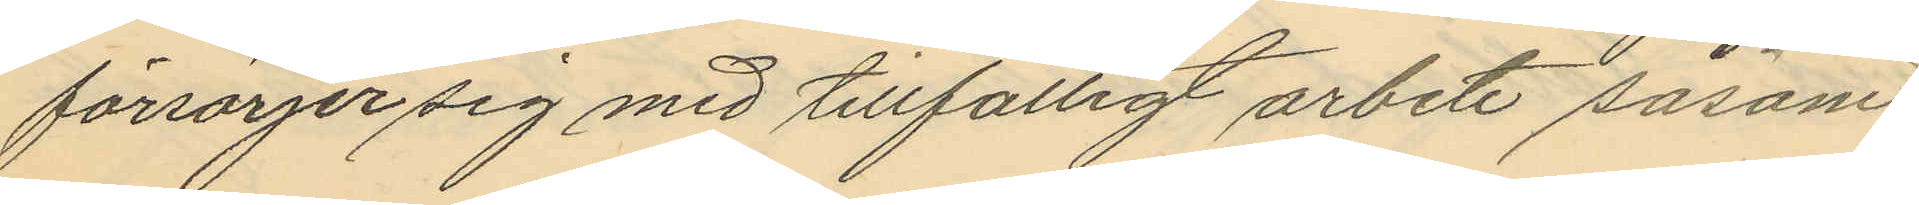försörjer sig med tillfälligt arbete såsom
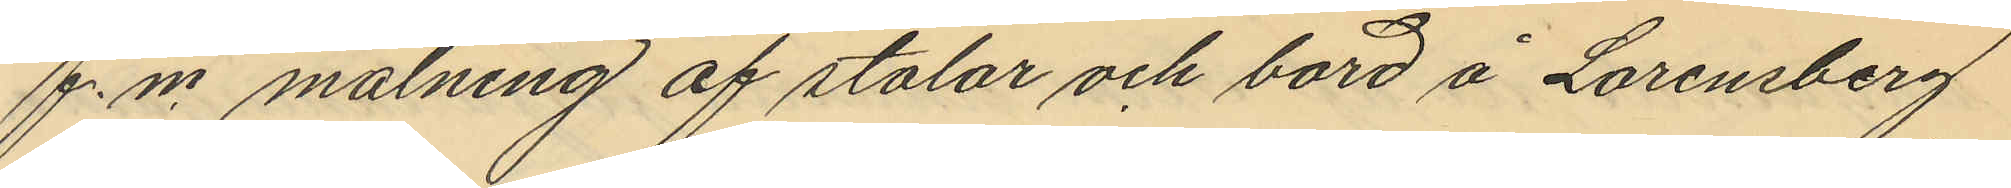f.n. målning af stolar och bord å Lorensberg
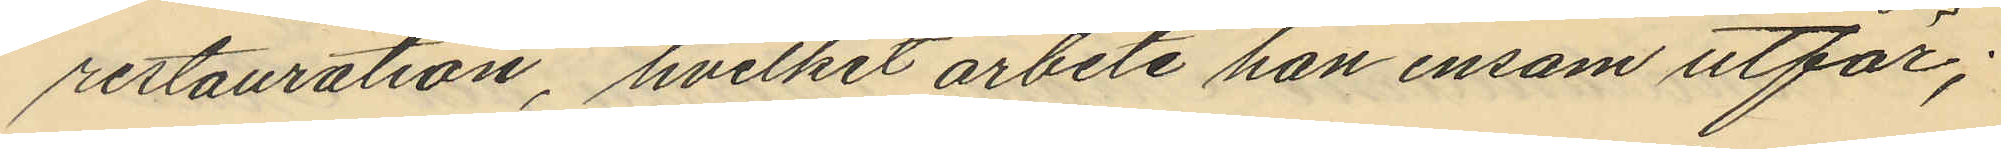restauration, hvilket arbete han ensam utför;
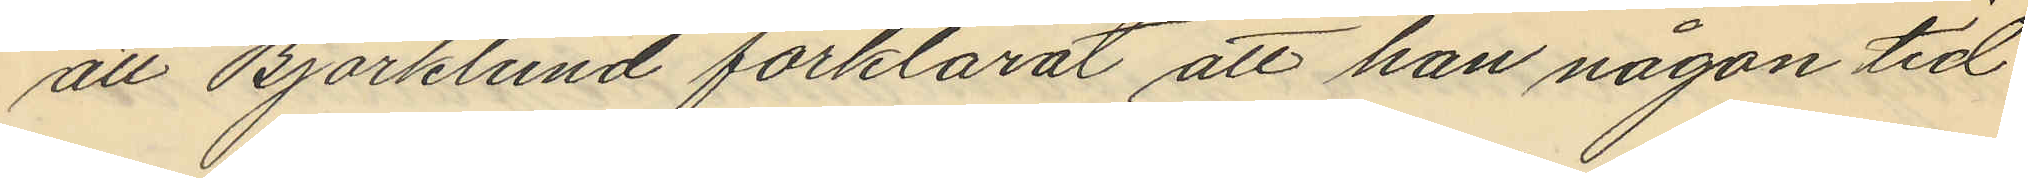att Björklund förklarat att han någon tid
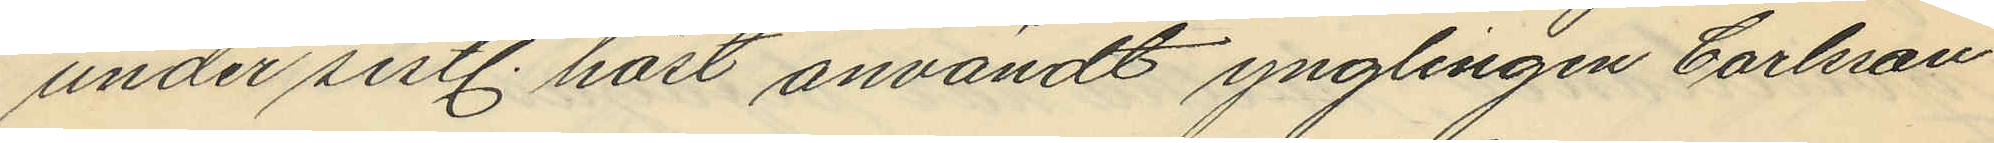under sistl. höst användt ynglingen Carlsson
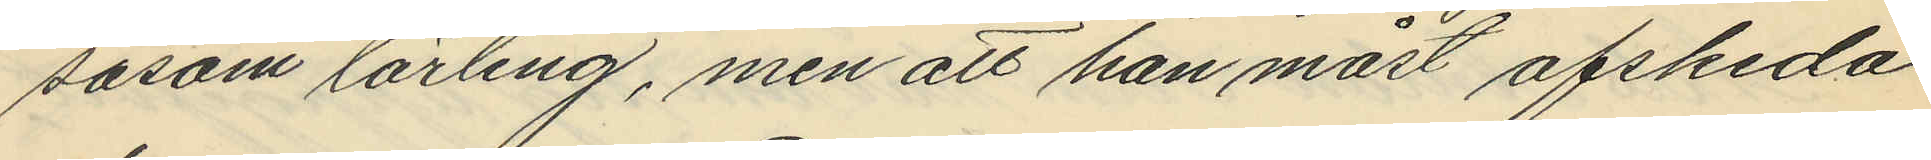såsom lärling, men att han måst afskeda
